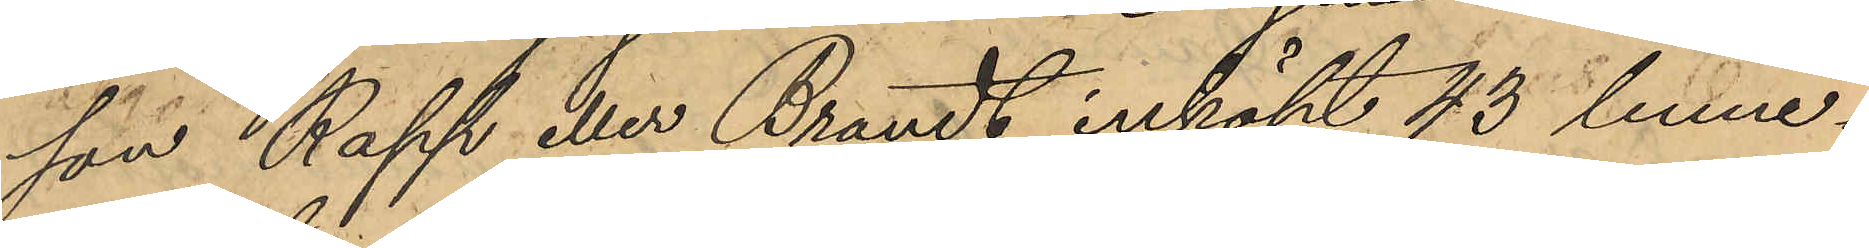son Rapp eller Brandt inköpt 43 linne¬
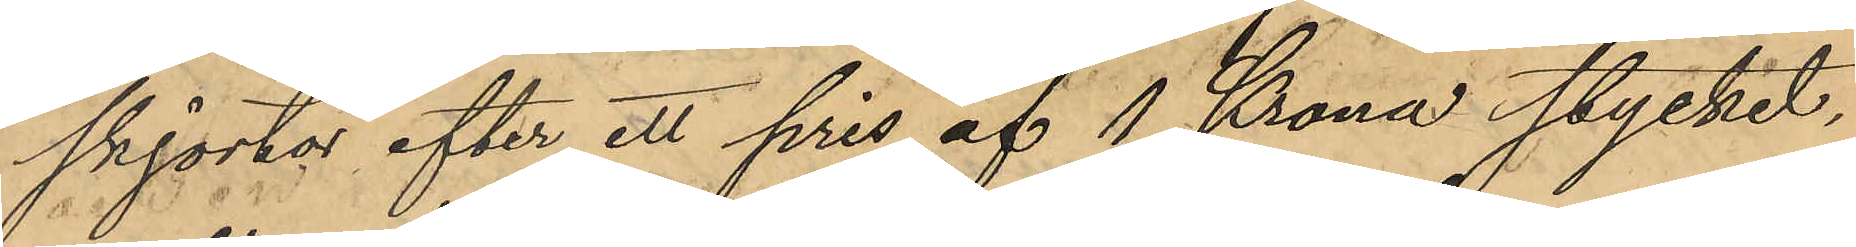skjortor efter ett pris af 1 Krona stycket,
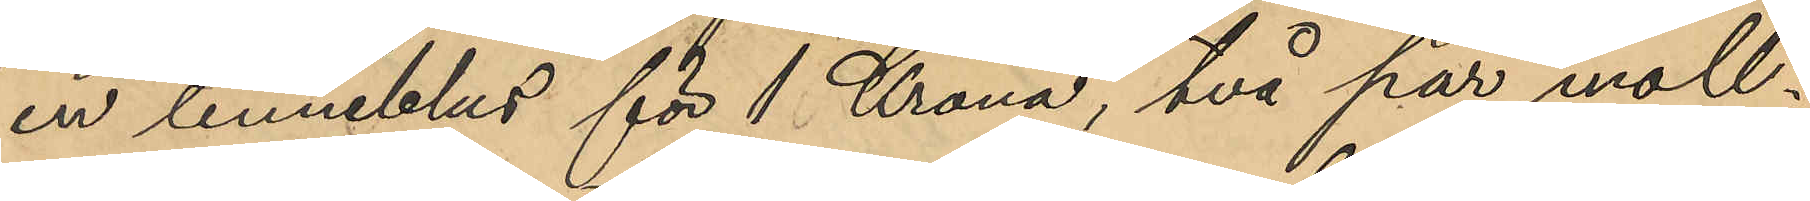en linneblus för 1 Krona, två par moll¬
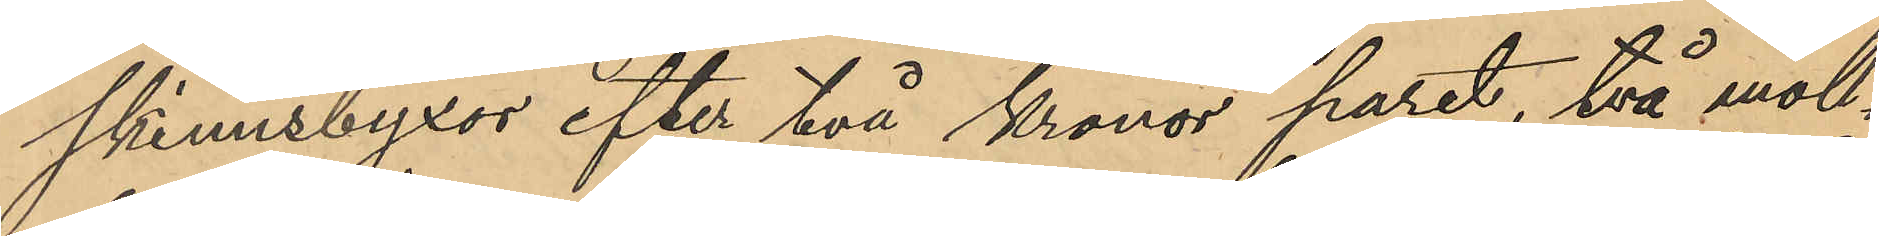skinnsbyxor efter två Kronor paret, två moll¬
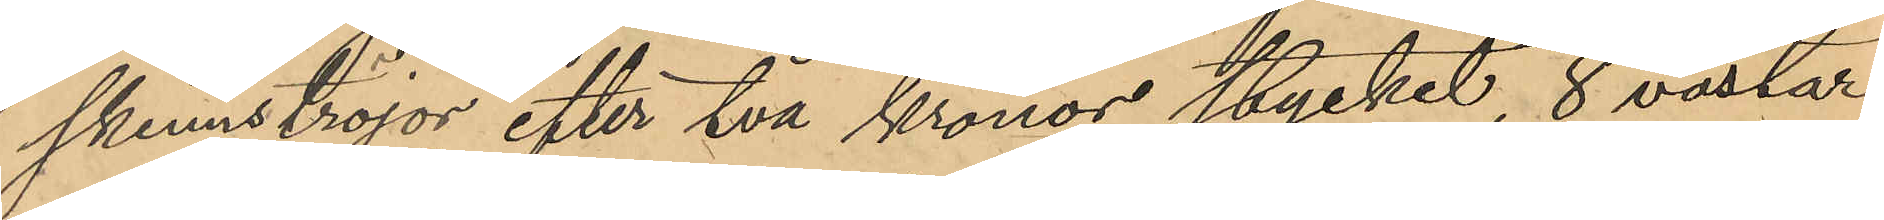skinnströjor efter två kronor stycket, 8 västar
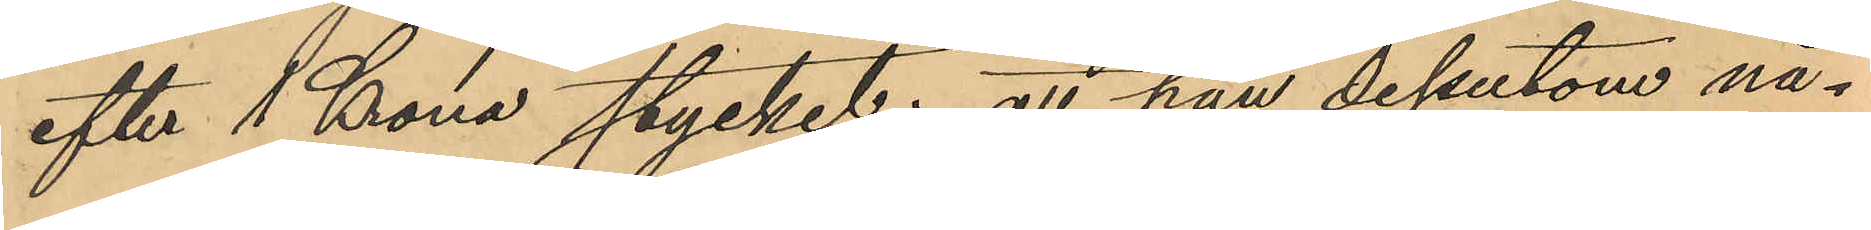efter 1 Krona stycket; att han dessutom nå¬
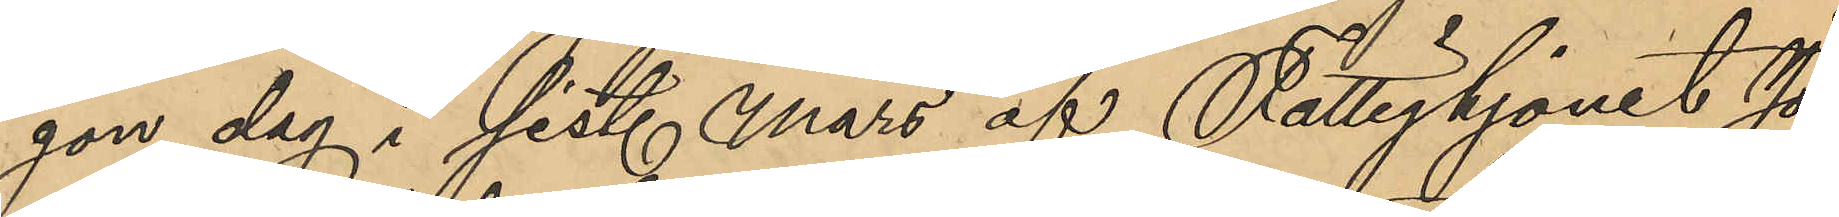gon dag i sist. Mars af Fattighjonet Jo¬
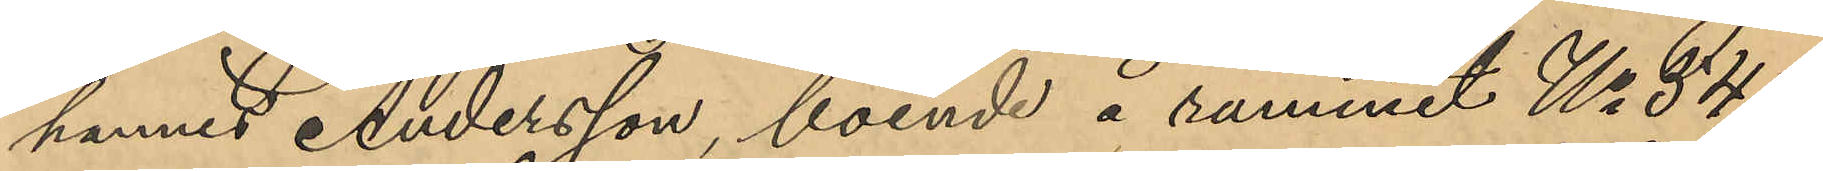hannes Andersson, boende å rummet No 34 i
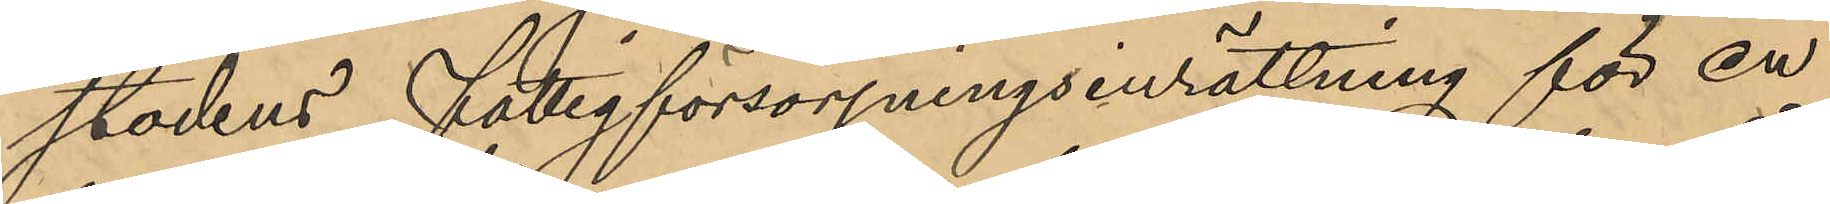stadens Fattigförsörjningsinrättning för en
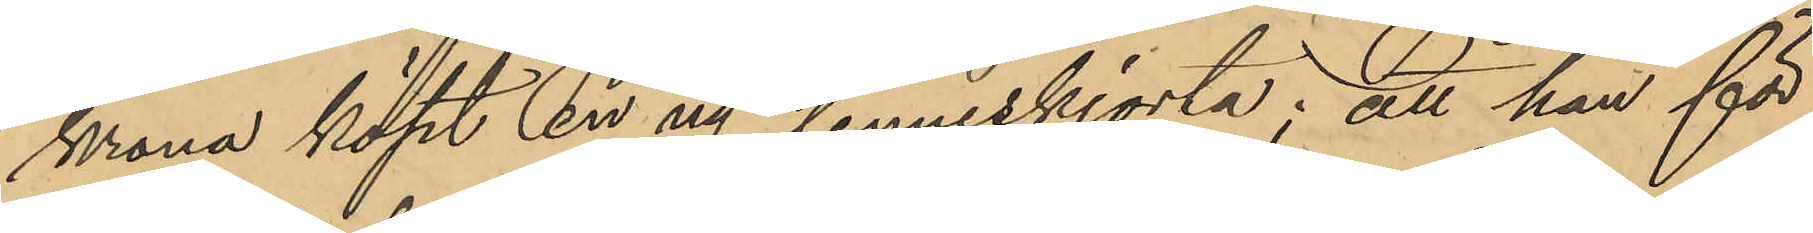krona köpt en ny linneskjorta; att han för
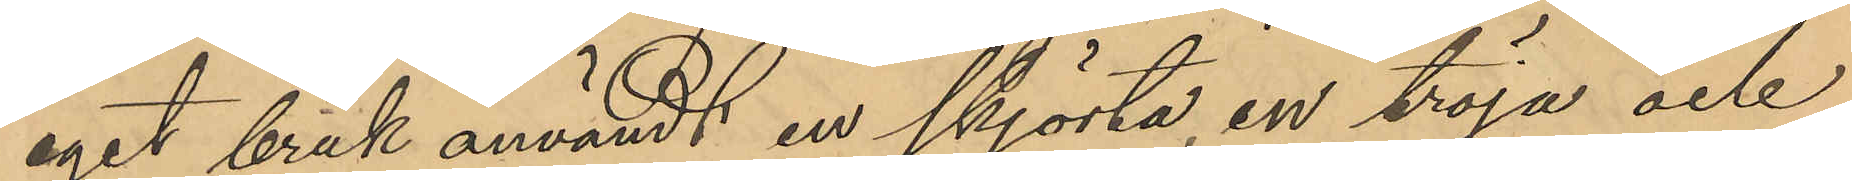eget bruk användt en skjorta, en tröja och
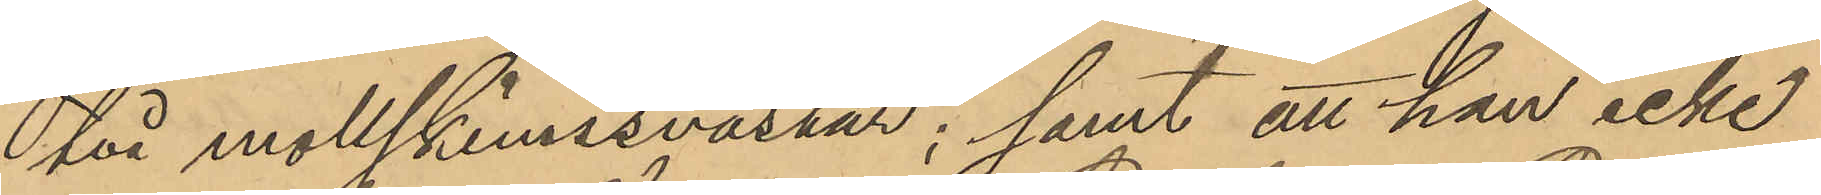två mollskinnsvästar; samt att han icke
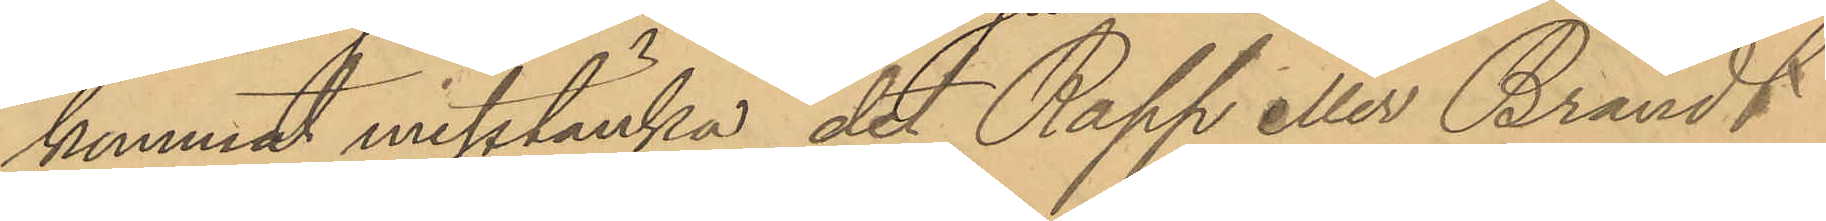kunnat misstänka det Rapp eller Brandt
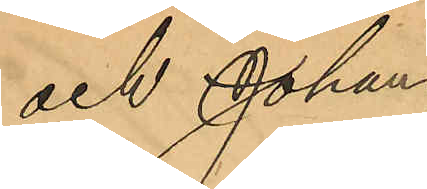och Johan¬
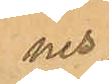nes
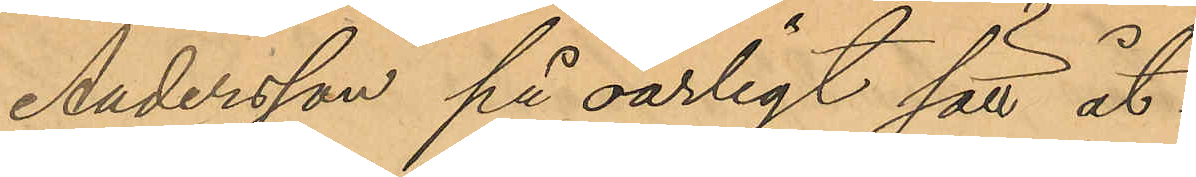Andersson på oärligt sätt åt¬
